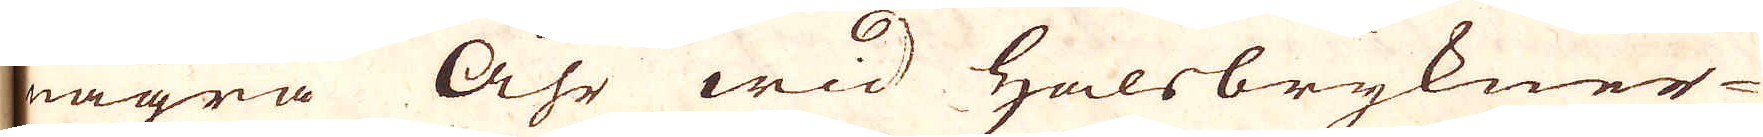några Åhr wid Halsbrykner
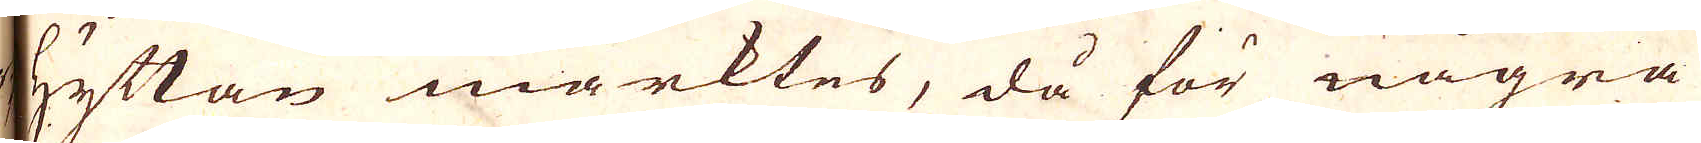hyttan märktes, då för några
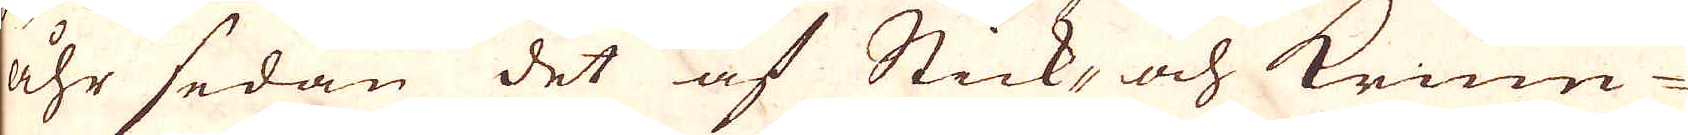åhr sedan det af Stick, och krum-
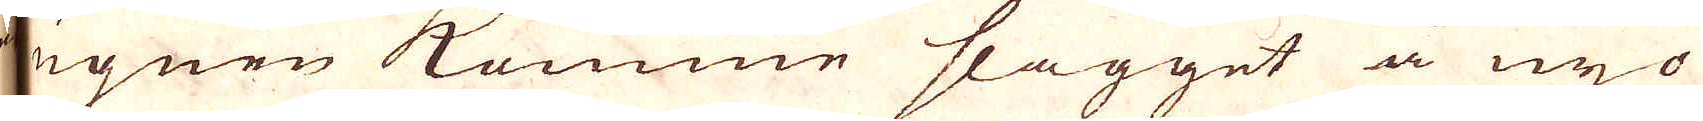ugnen komme slagget å nyo
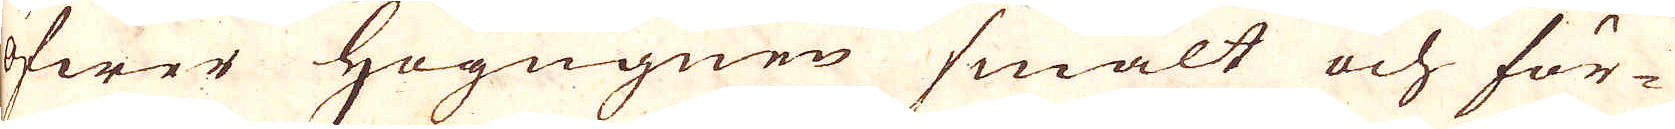öfwer Högugnen smält och för-
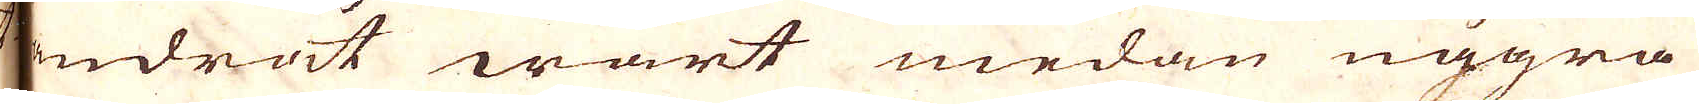ändrat wart medan några
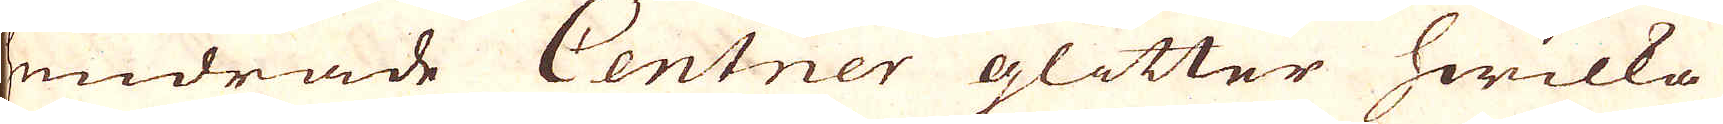hundrade Centner glitter hwilka
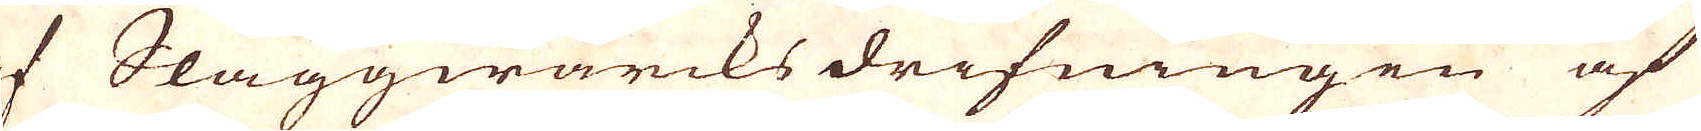af Slaggwärcks drifningen af
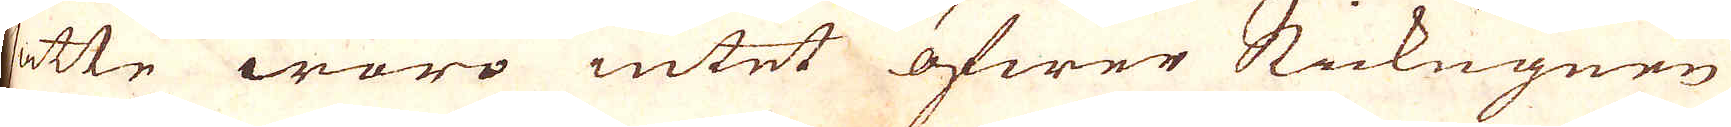satte woro intet öfwer Stickugnen
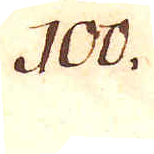100.
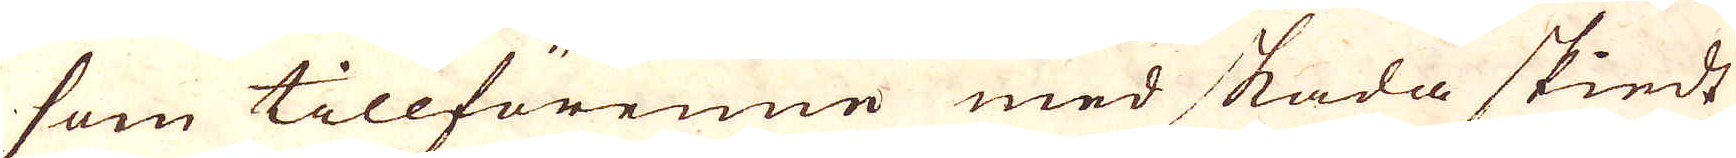som tillförenne med skada skiedt
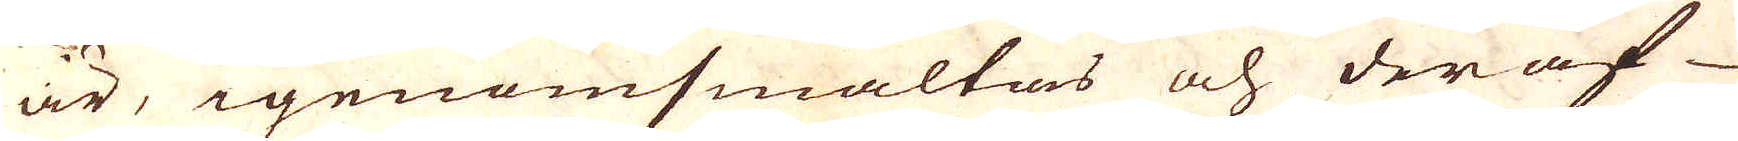är, igenomsmältas och der af
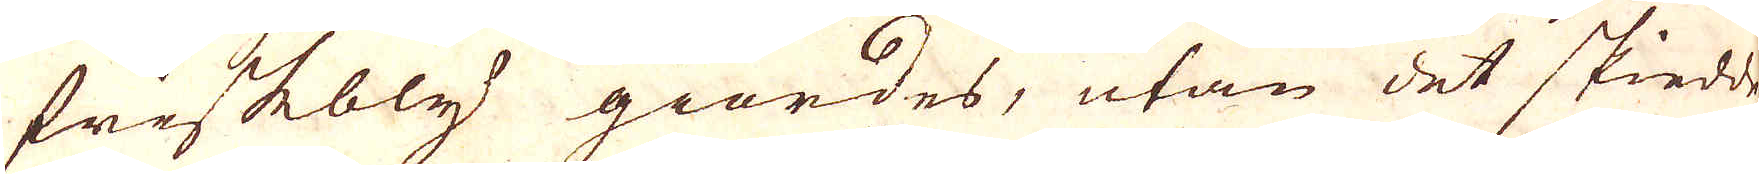friskbly giordes, utan det skiedde
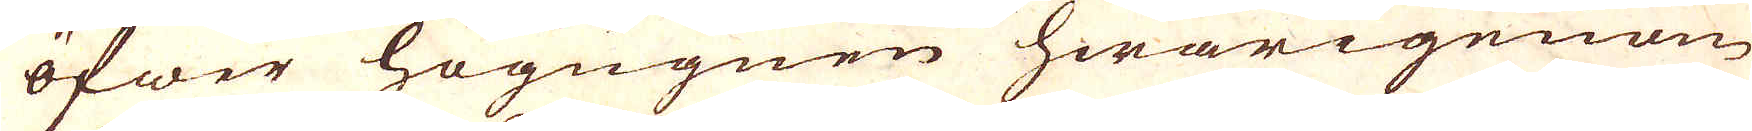öfwer högugnen hwarigenom
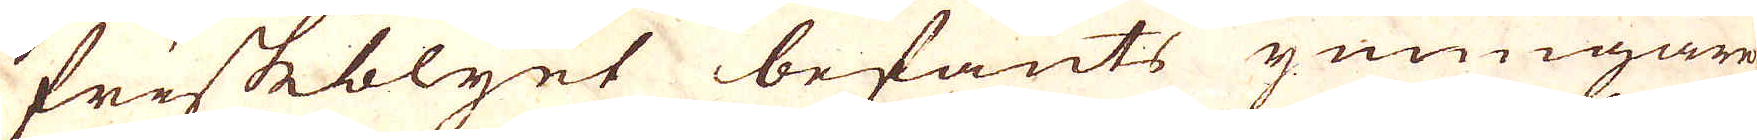friskeblyet befants ymnigare
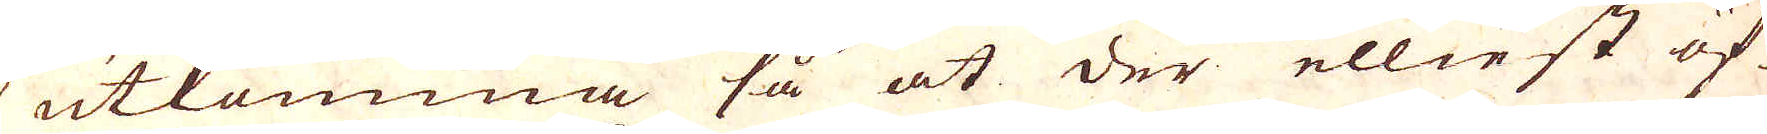utkomma så at der elliest öf-
